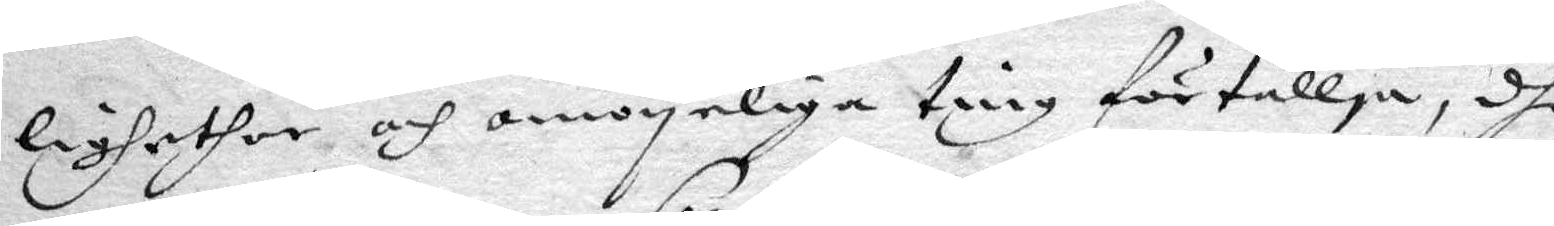lighether och omöyelige ting förtällja, dhe
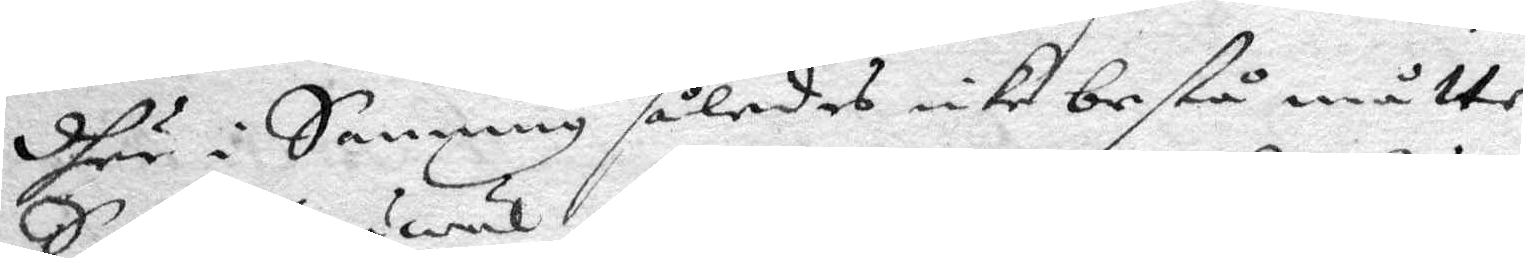dher i Sanning således icke bestå måtte,
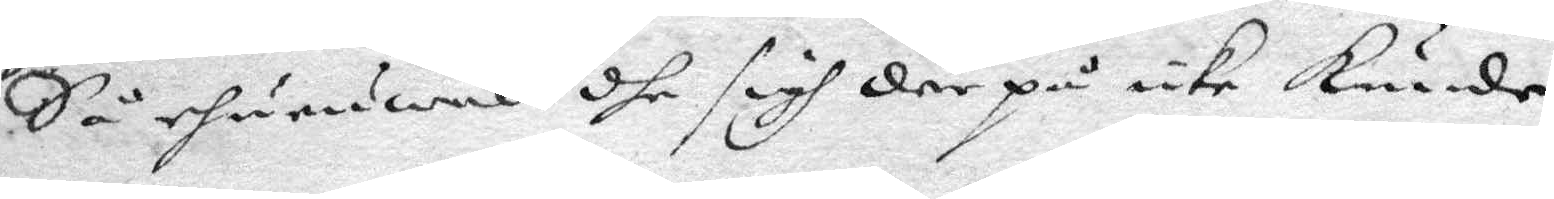Så ehuruwäl dhe sigh där på icke kunde
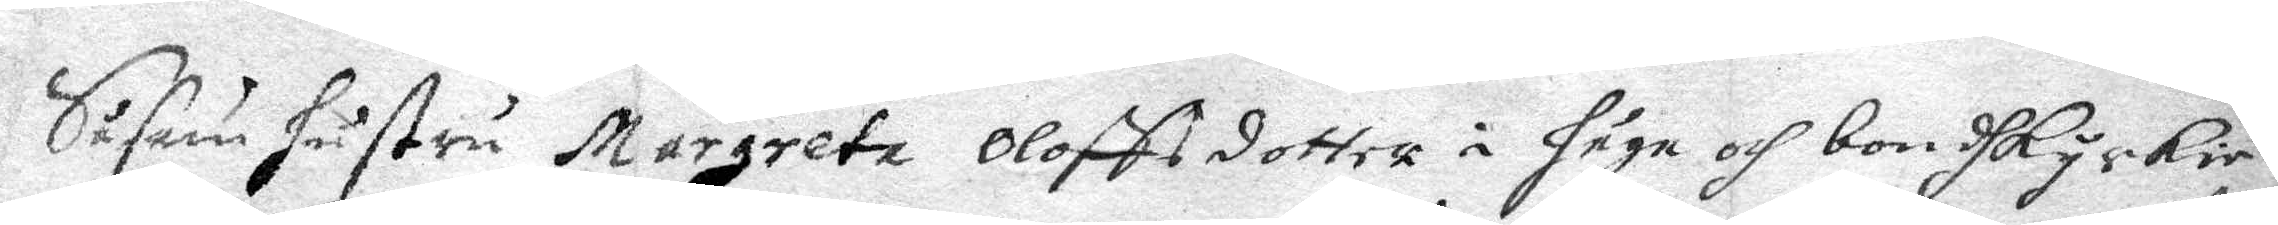Såsom hustru Margreta Olofssdotter i håga och bondKyrkie
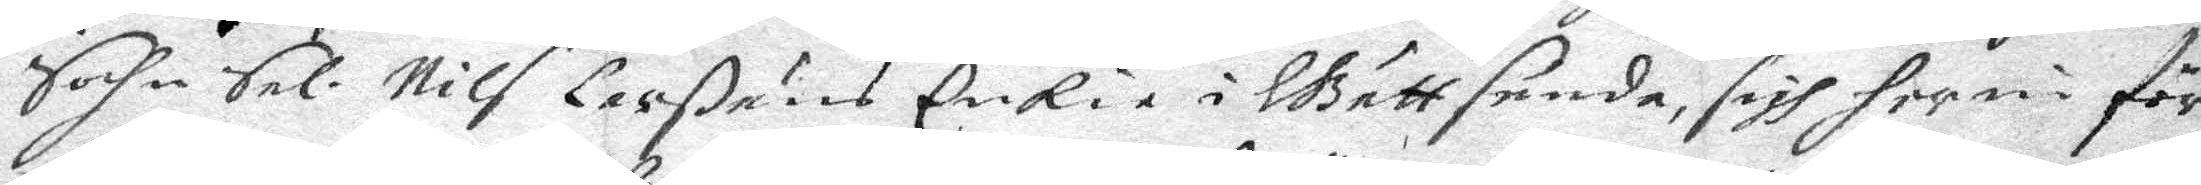Sochn Sal. Nils Larßåns EnKia i Gåttsunda, sigh her nu för
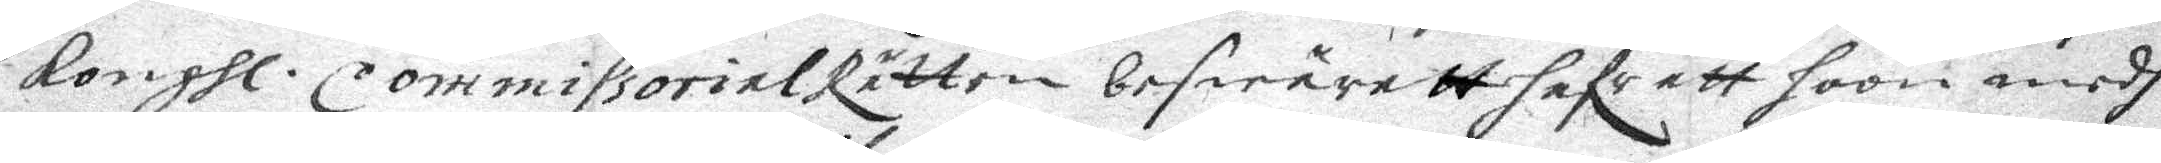Kongl. CommissorialRätten beswäratt hafe att hoon medh
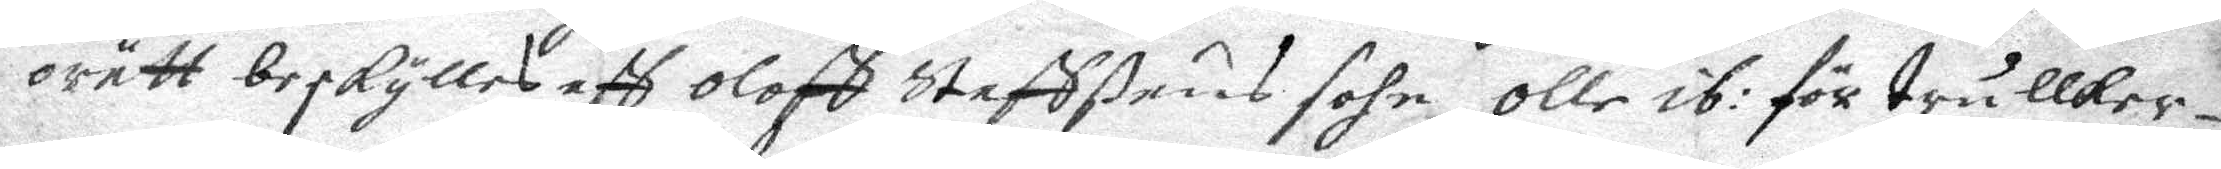orätt besKylles aff Oloff Staffßuns sohn Olle ib: för trullker¬
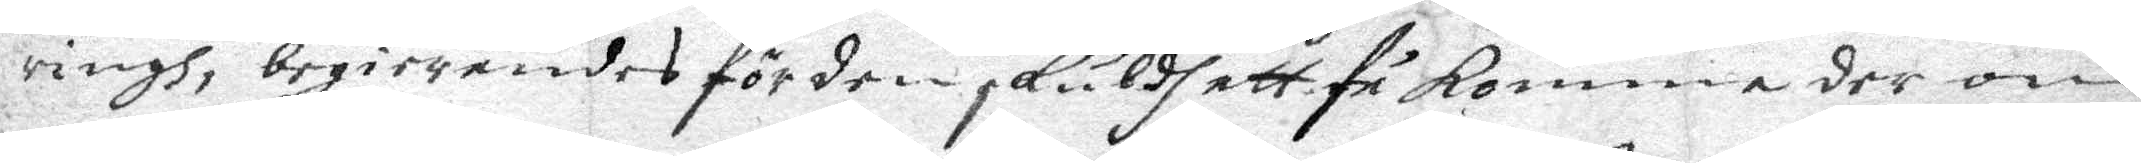ringh, begierandes för den sKuldh att få Komma der om
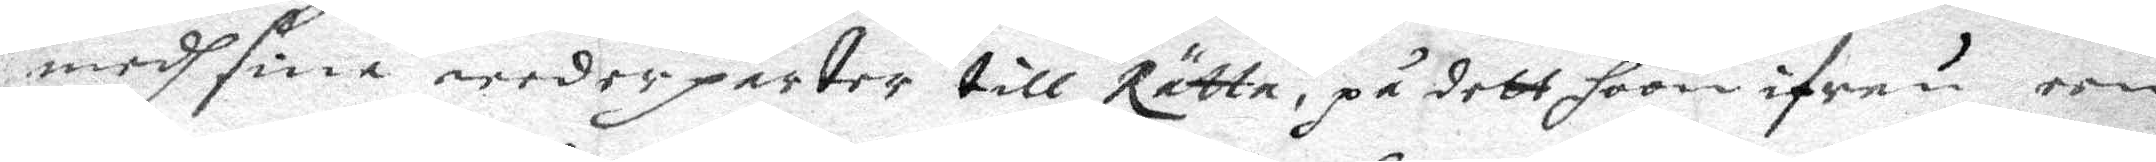medh sina wederparter till Rätta, på dett hoon ifrån een
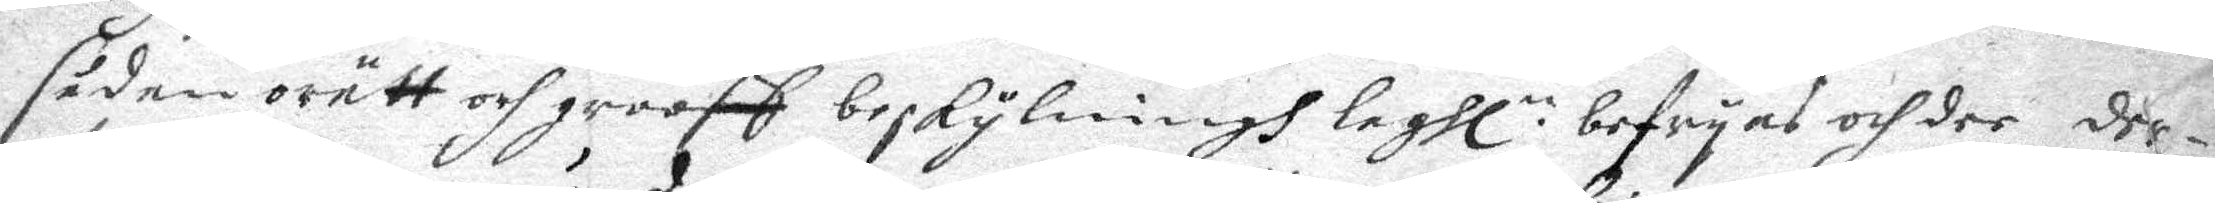sådan orätt och grooff beskylningh laghl: befryas och der dee
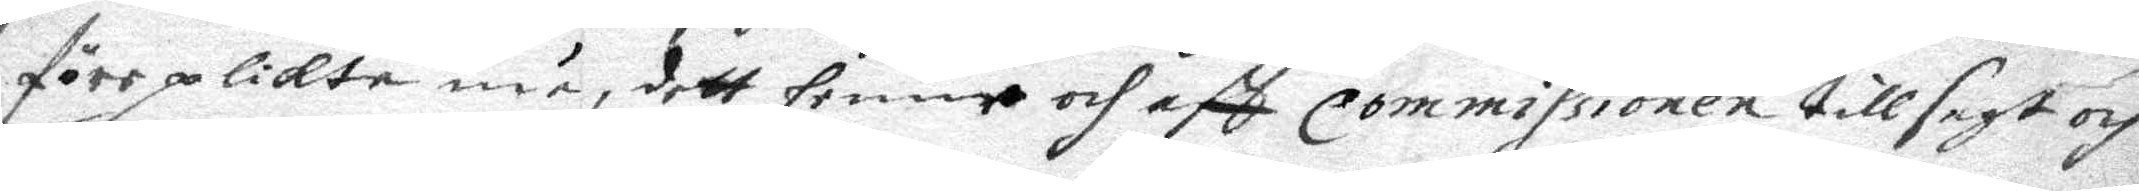före pliKta må, dett henne och aff Commissionen tillsagt och
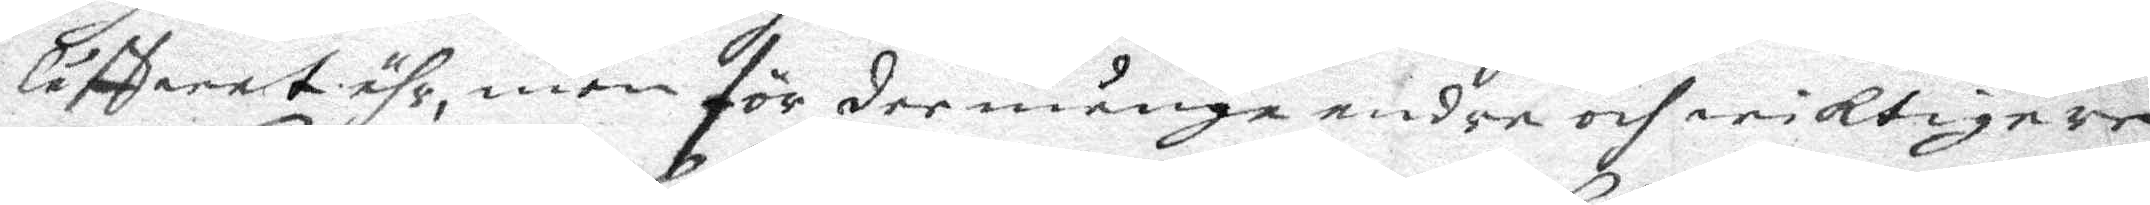låffwat ähr, men för dee många andra och wiiKtigare
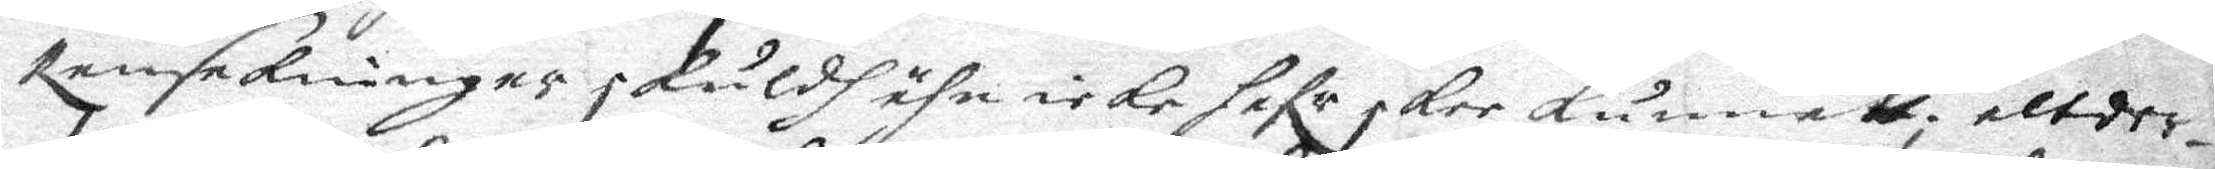RansaKningar sKüldh ähn icKe hafr skee künnatt; altder
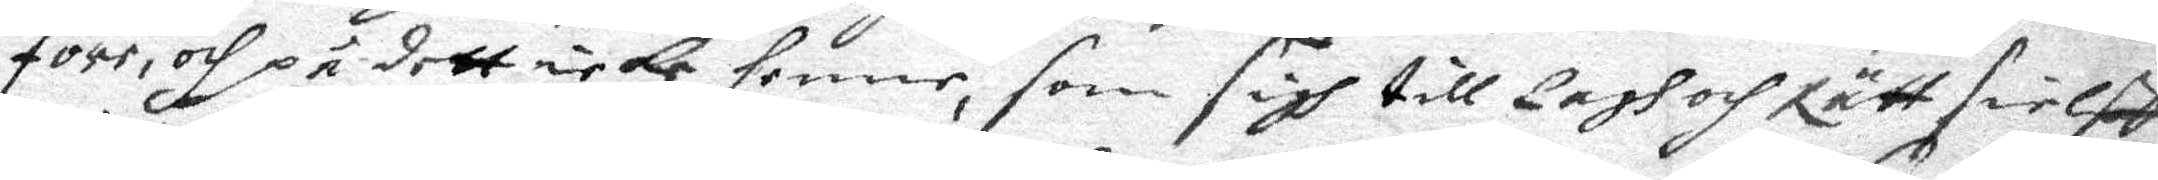före, och på dett icKe henne, som sigh till Lagh och Rätt sielff
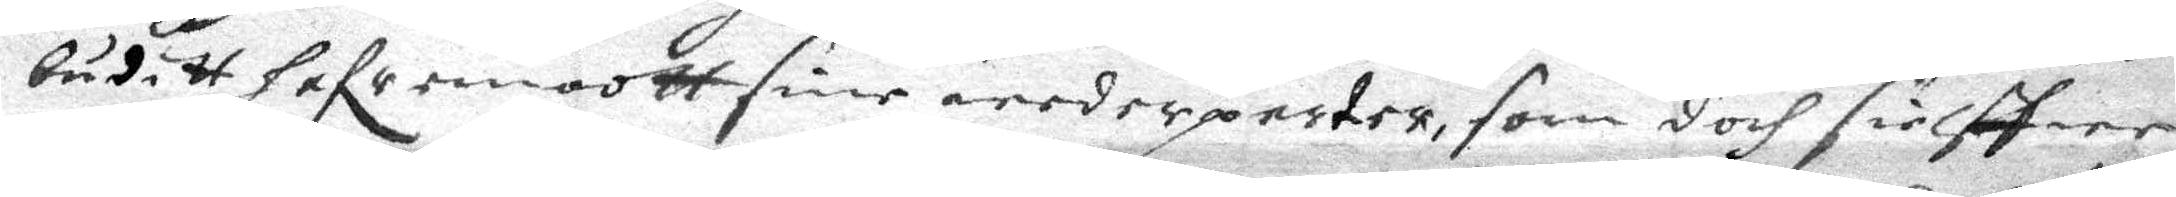buditt hafr emoott sine wederparter, som doch sielffwe
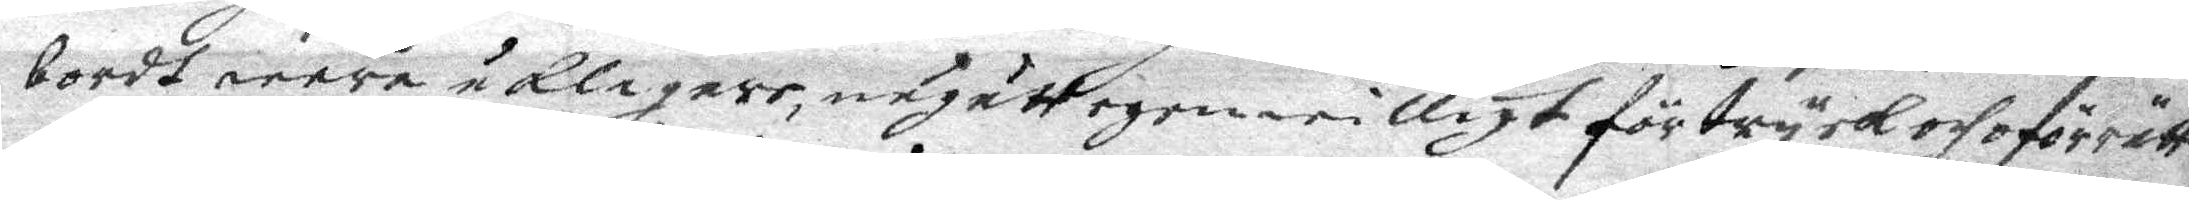bordt wara åklagare, någått egenwilligt förtrycK och oförrätt
